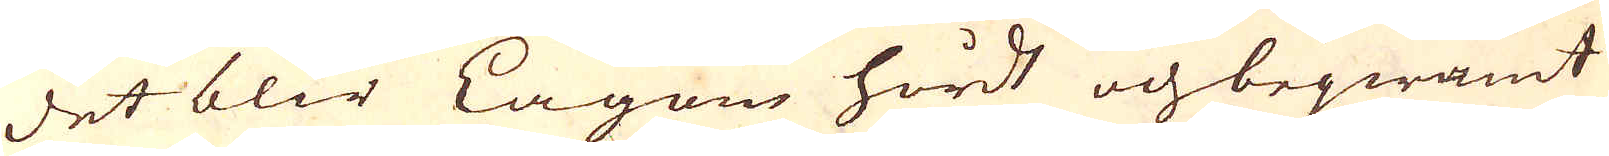det blir Lagom hårdt och beqwämt
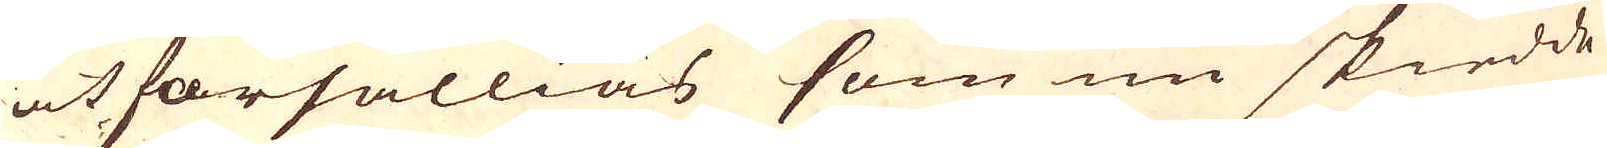at försällias som nu skiedde
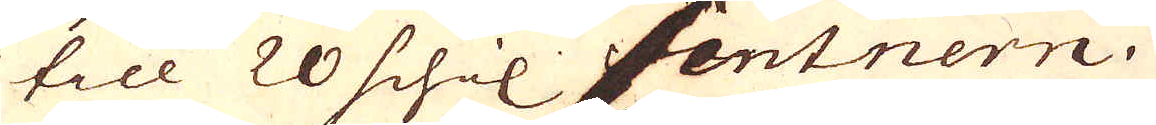till 20 schil Centnern.
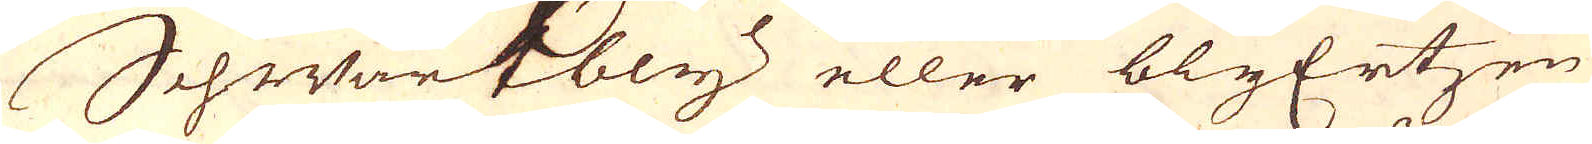Schwartbly eller blyErtzen
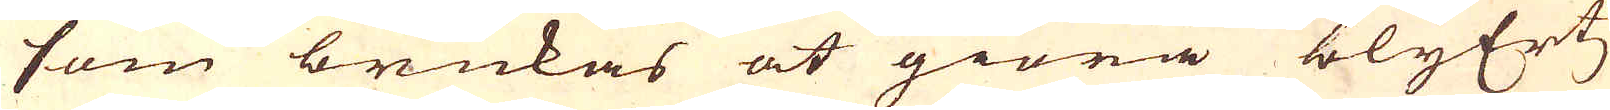som brukas at giöra blyErtz
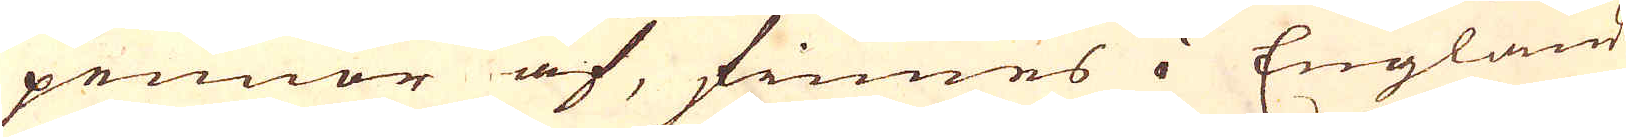pennor af, finnes i England
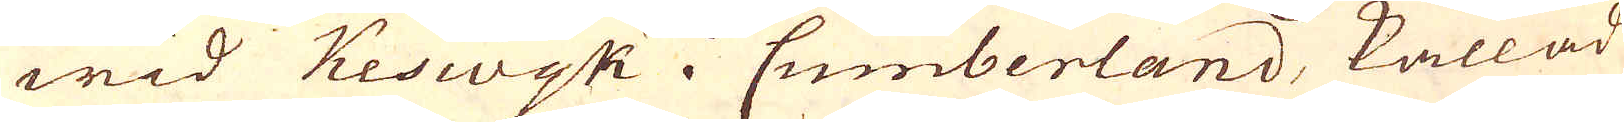wid Keswyk i Cumberland, kallad
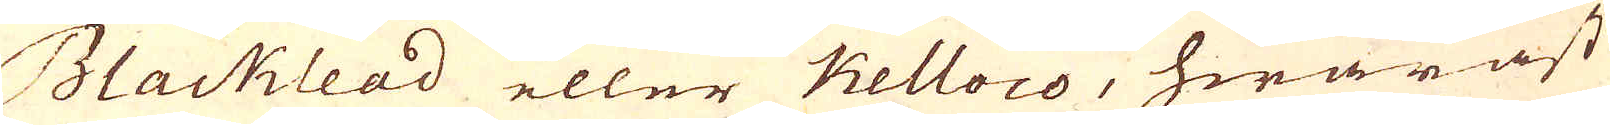Blacklead eller Kelloco, hwaräst
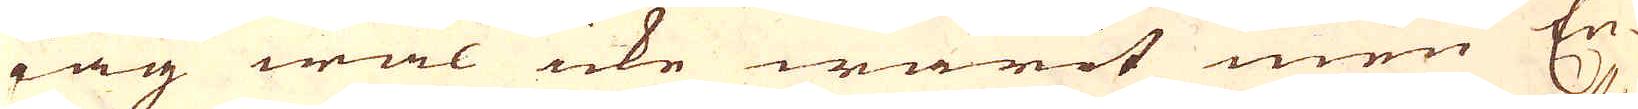iag wäl icke warit men En-
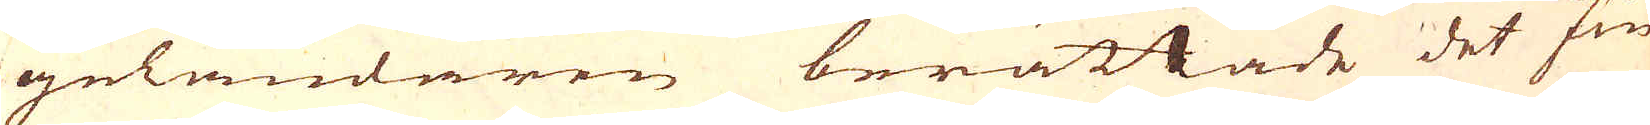geländaren berättade det fin-
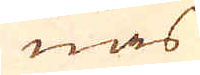nas
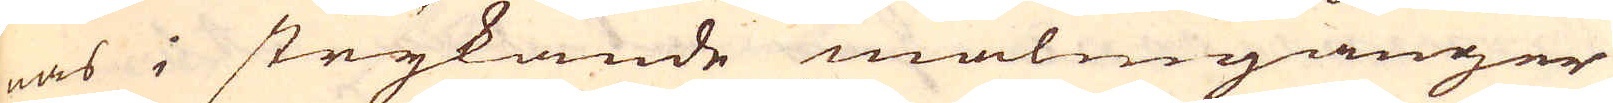nas i strykande malmgånger
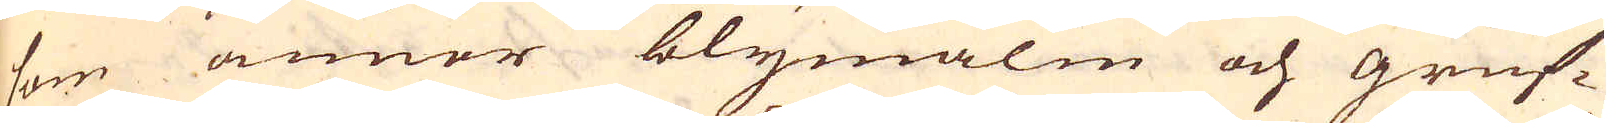som annor blymalm och gruf-
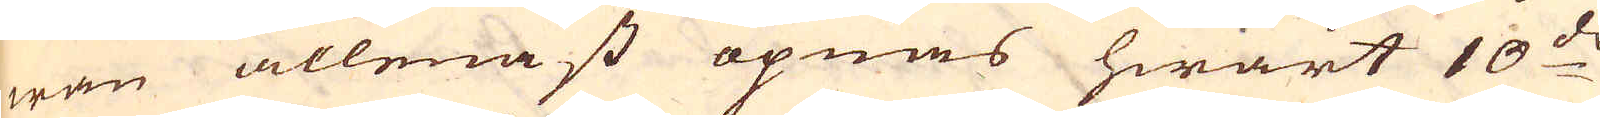wan allenast öpnas hwart 10:de
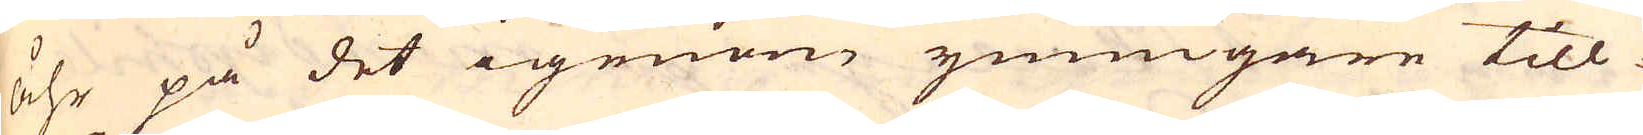åhr på det igenom ymnigare till
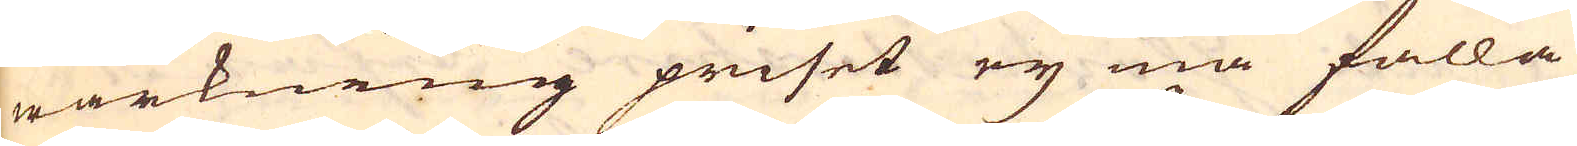wärkning priset eij må falla
